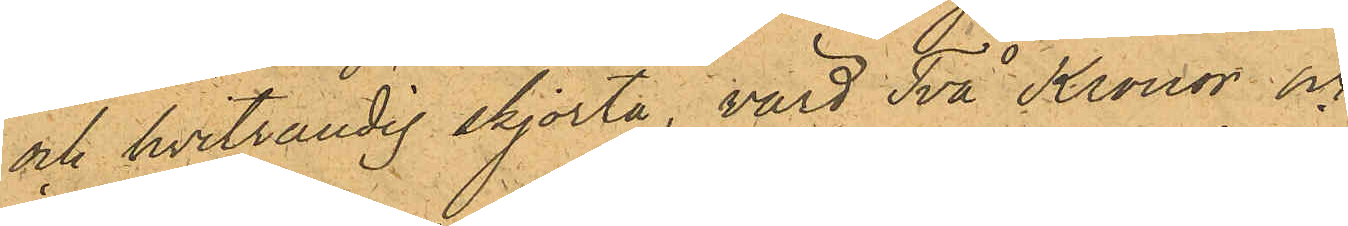och hvitrandig skjorta, värd Två Kronor och
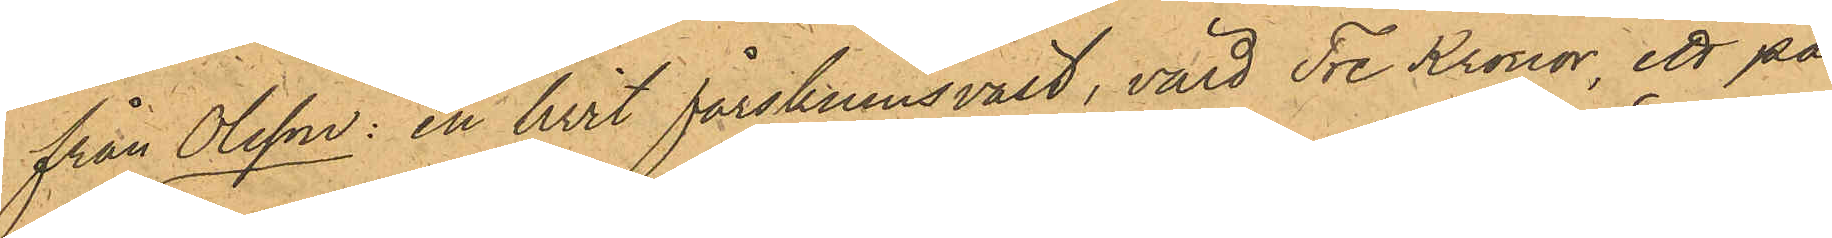från Olsson: en hvit fårskinnsväst, värd Tre Kronor, ett par
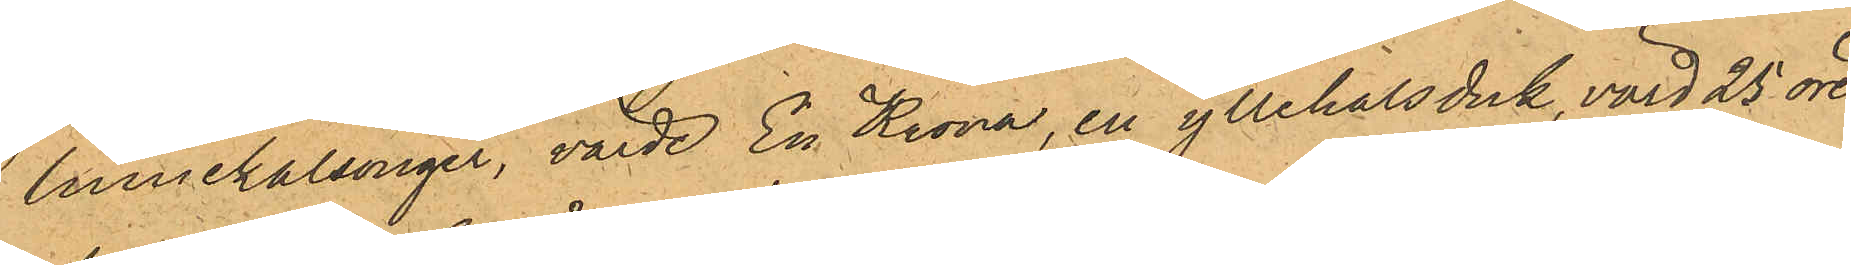linnekalsonger, värde En Krona, en yllehalsduk, värd 25 öre
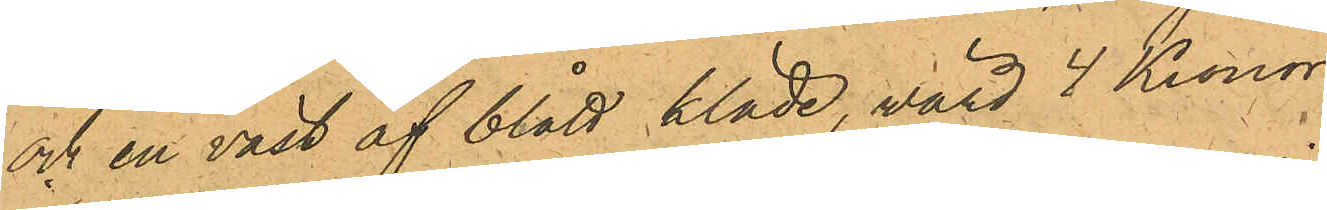och en väst af blått kläde, värd 4 Kronor.
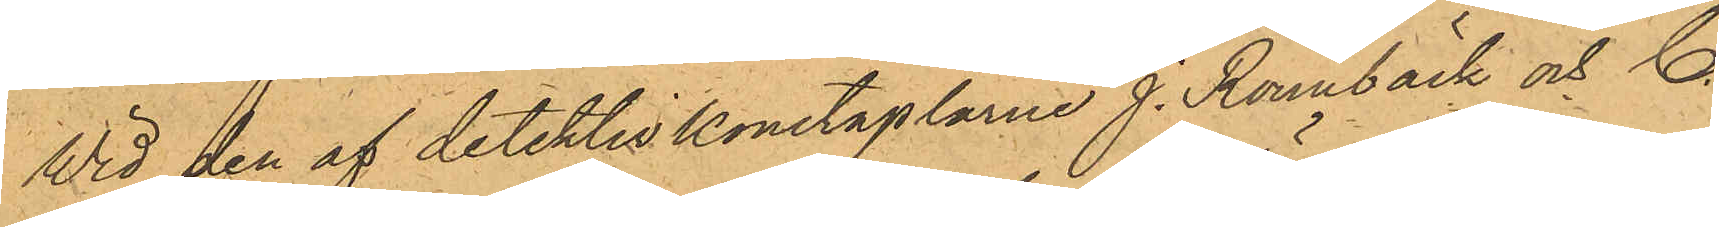Wid den af detektivkonstaplarne J. Rönnbäck och C.
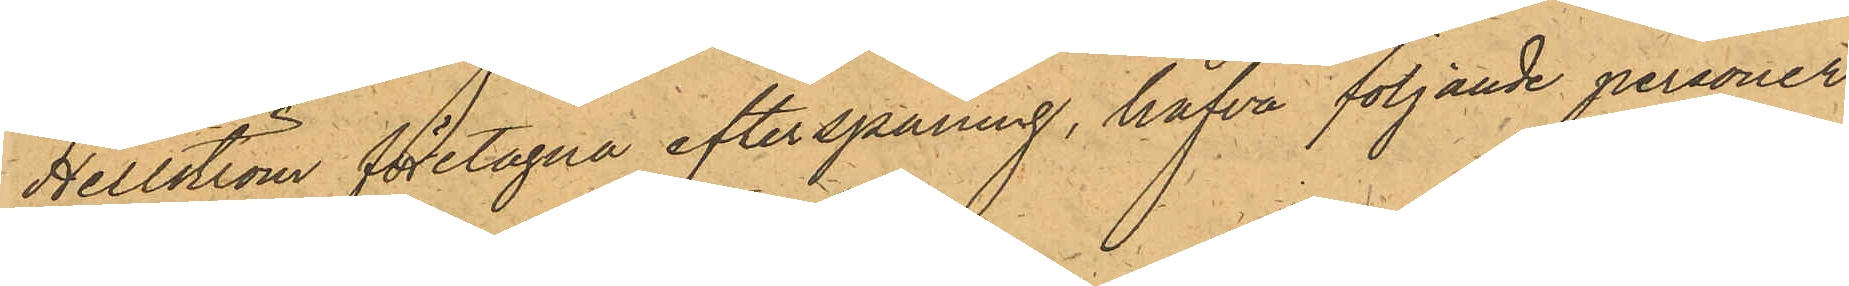Hellström företagna efterspaning, hafva följande personer
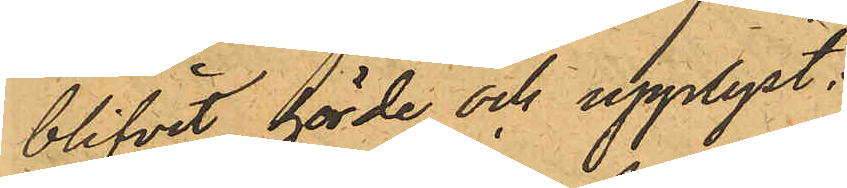blifvit hörde och upplyst:
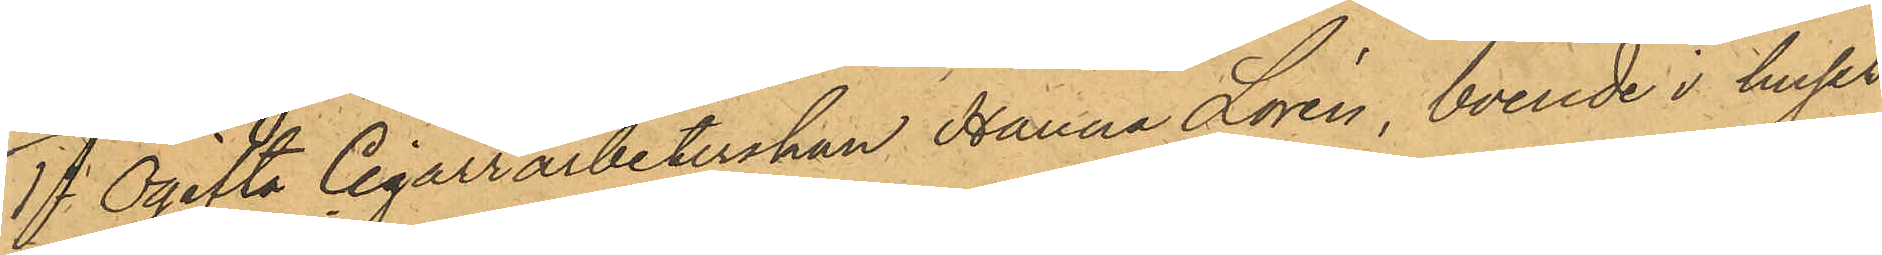1o Ogifta Cigarrarbeterskan Hanna Lorén, boende i huset
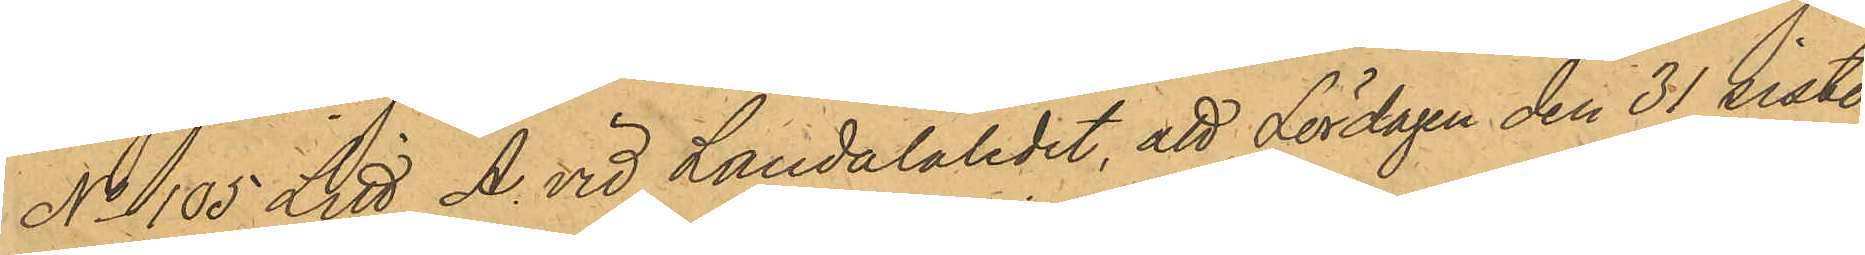No 105 Litt A vid Landalaledet, att Lördagen den 31 sist.
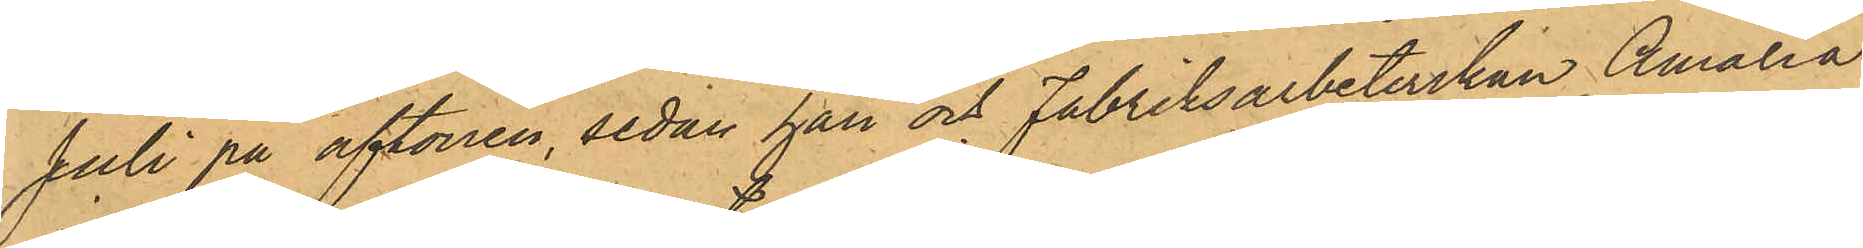Juli på aftonen, sedan han och Fabriksarbeterskan Amalia
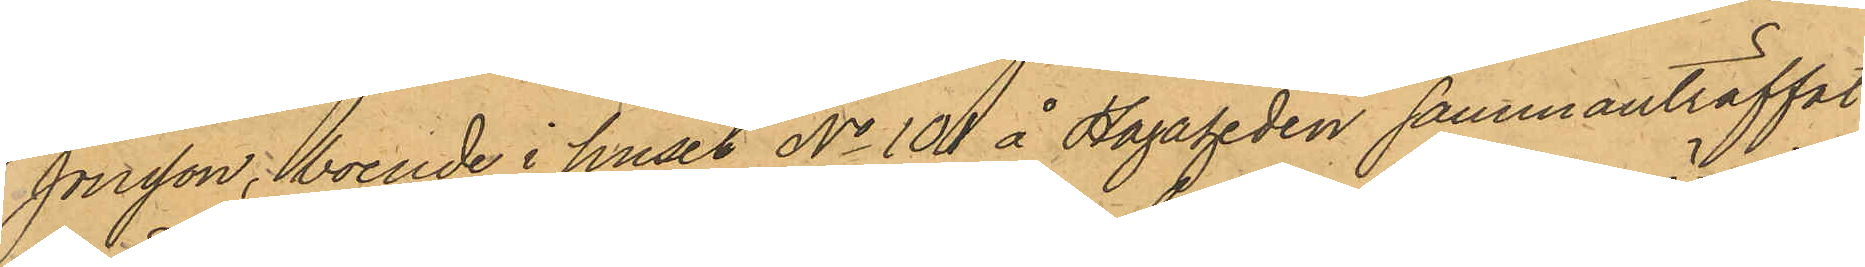Jonsson, boende i huset No 101 å Hagaheden sammanträffat
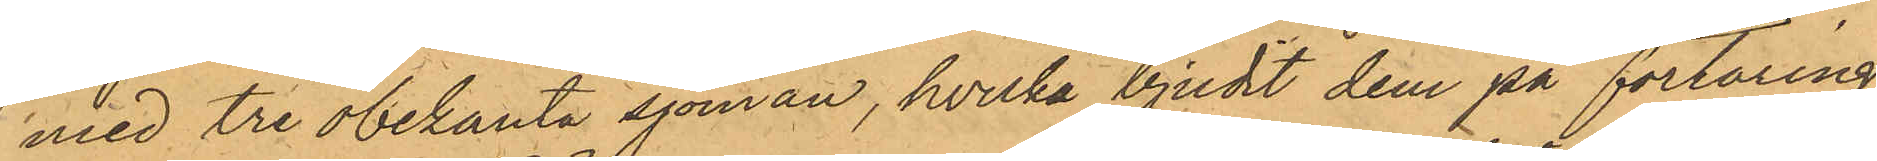med tre obekanta sjöman, hvilka bjudit dem på förtäring,
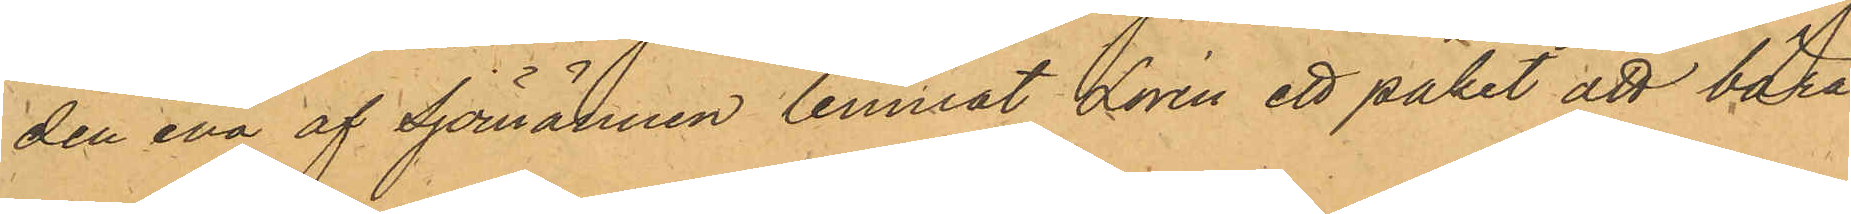den ena af Sjömännen lemnat Lorén ett paket att bära,
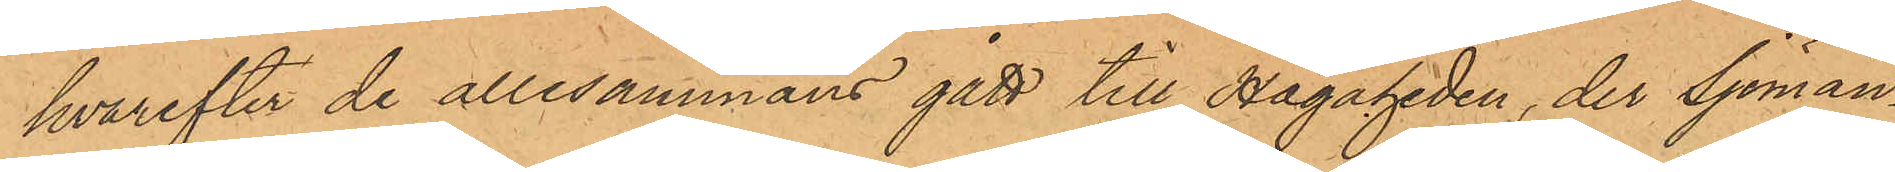hvarefter de allesammans gått till Hagaheden, der sjömän¬
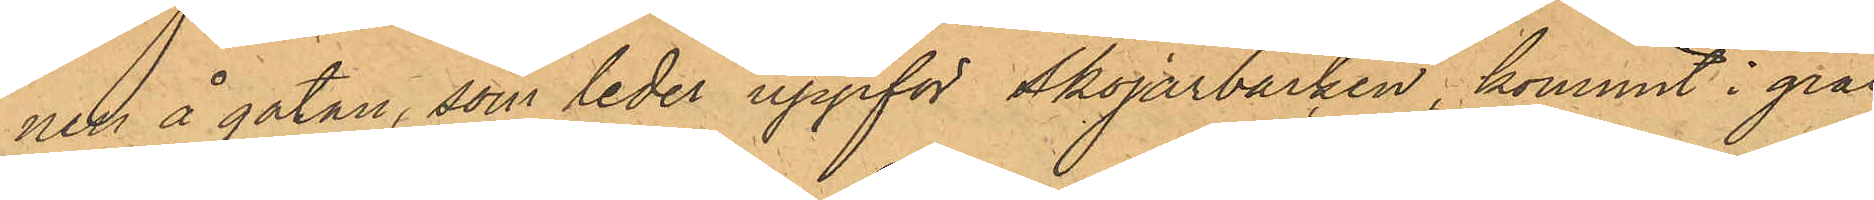nen å gatan, som leder uppför Skojarbacken, kommit i gräl
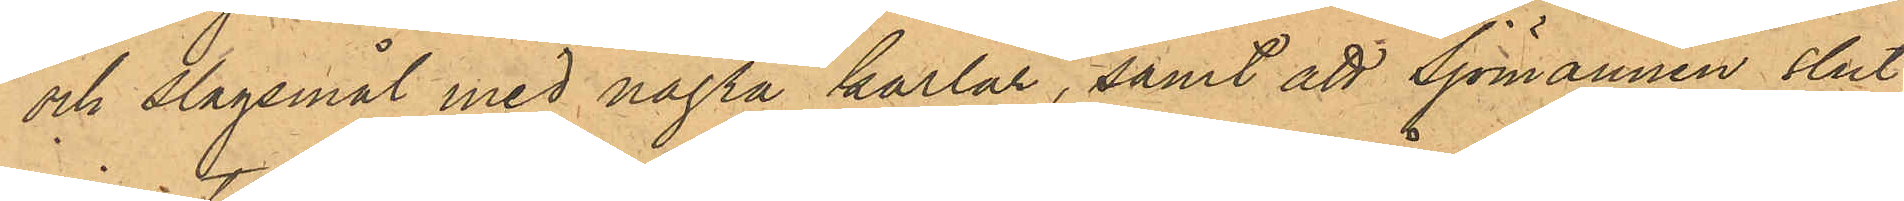och slagsmål med några karlar, samt att Sjömännen slut¬
